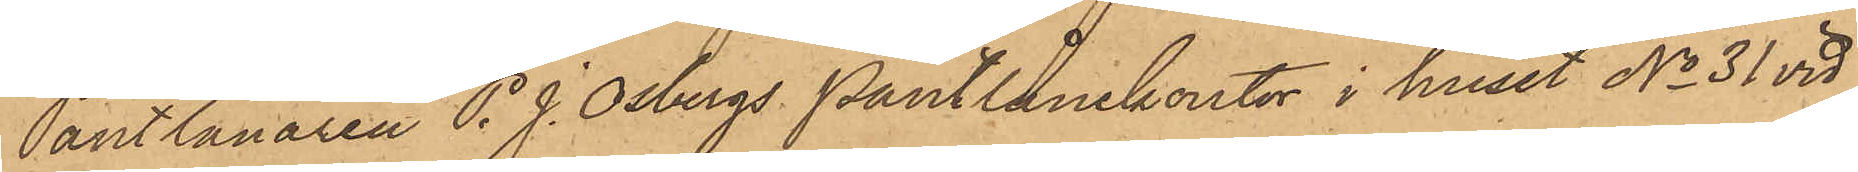Pantlånaren P. J. Osbergs Pantlånekontor i huset No 31 vid
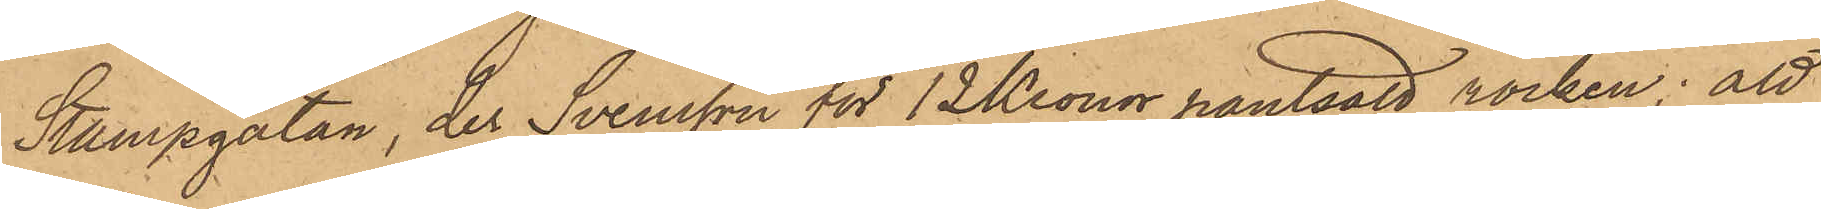Stampgatan, der Svensson för 12 Kronor pantsatt rocken; att
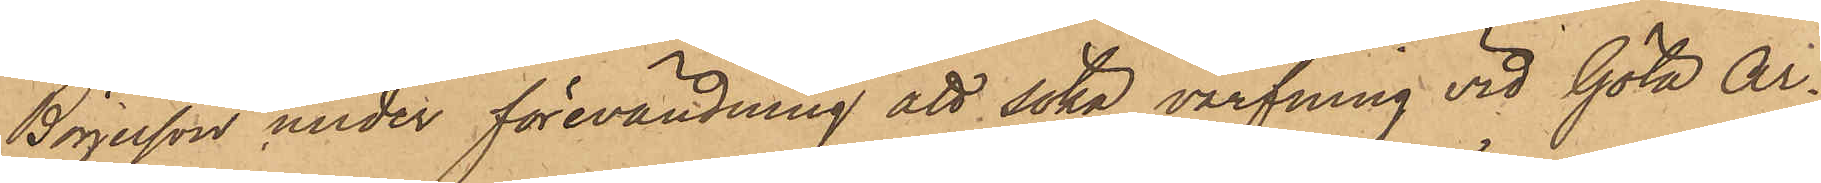Börjesson under förevändning att söka värfning vid Göta Ar¬
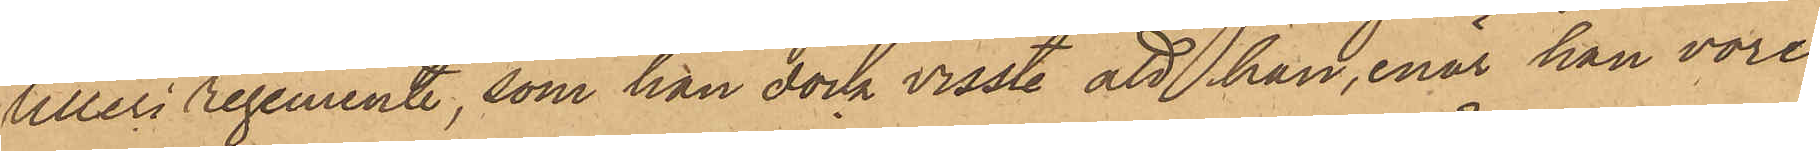tilleri regemente, som han dock visste att han, enär han vore
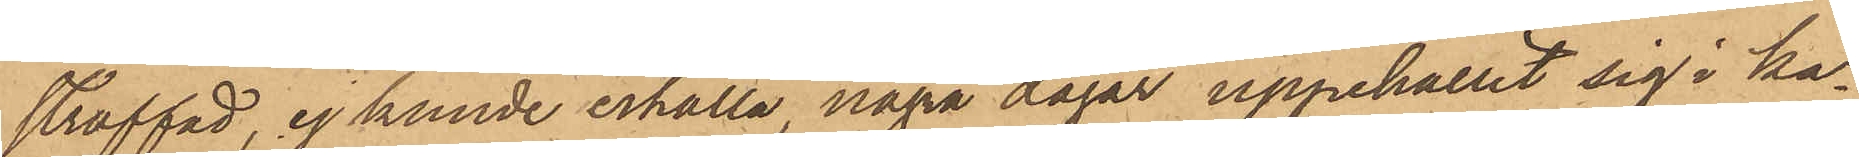straffad, ej kunde erhålla, några dagar uppehållit sig i ka¬
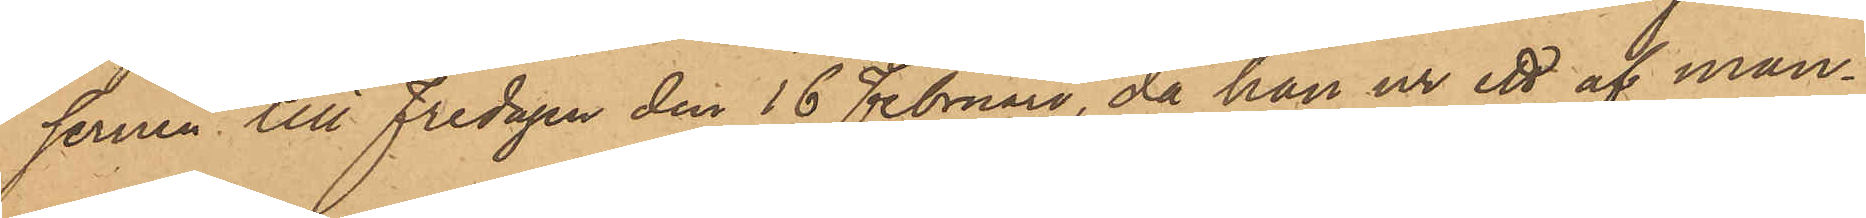sernen till Fredagen den 16 Februari, då han ur ett af man¬
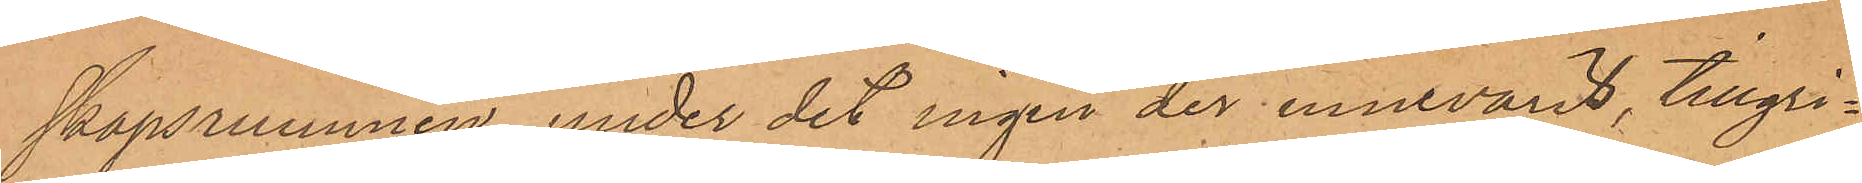skapsrummen, under det ingen der innevarit, tillgri¬
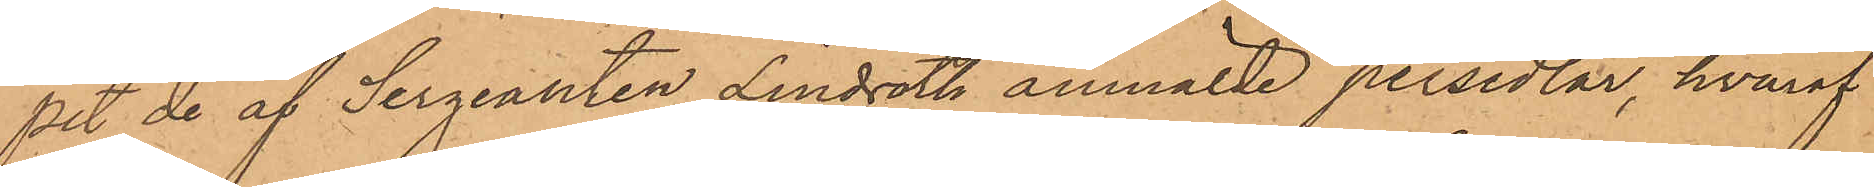pit de af Sergeanten Lindroths anmälde persedlar, hvaraf
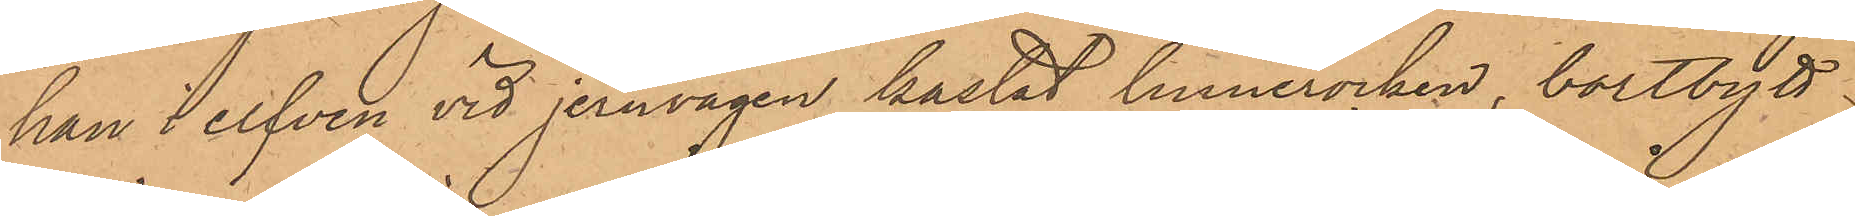han i elfven vid jernvågen kastat linnerocken, bortbytt
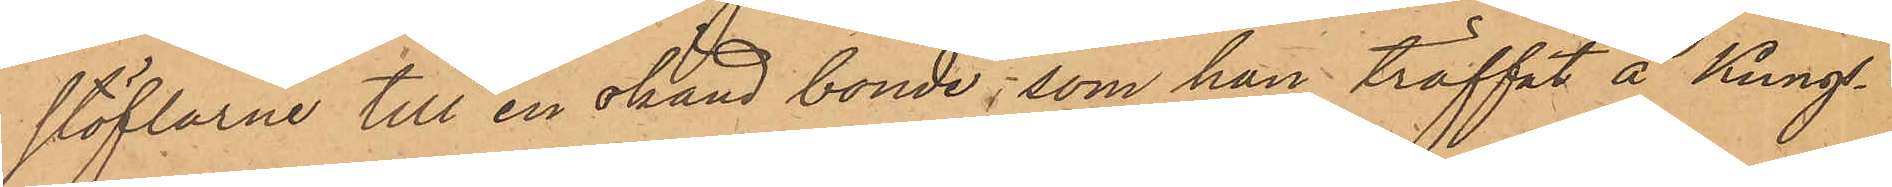stöflarne till en okänd bonde, som han träffat å Kungs¬
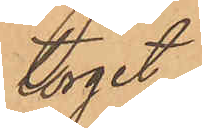torget
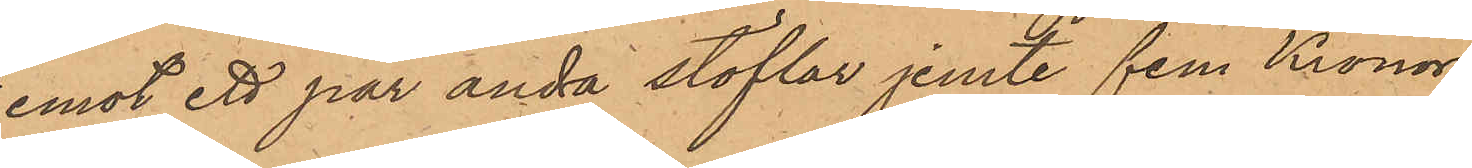emot ett par andra stöflar jemte fem Kronor
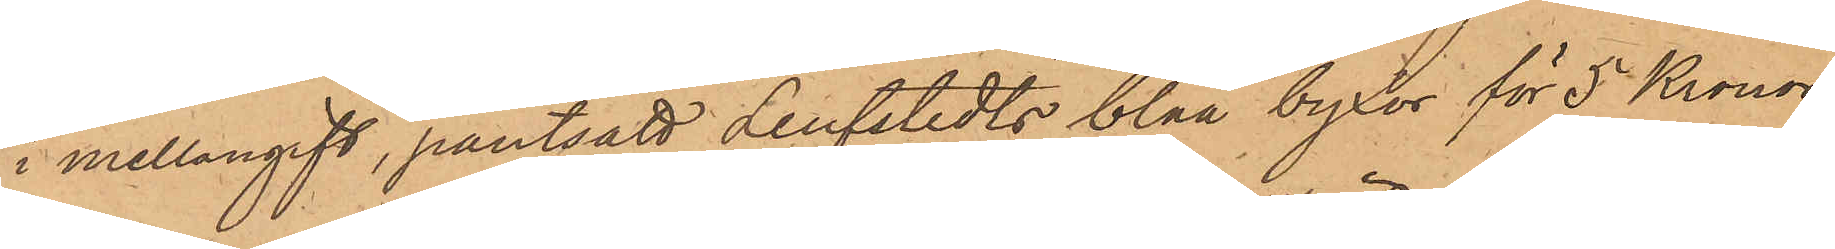i mellangift, pantsatt Leufstedts blåa byxor för 5 Kronor
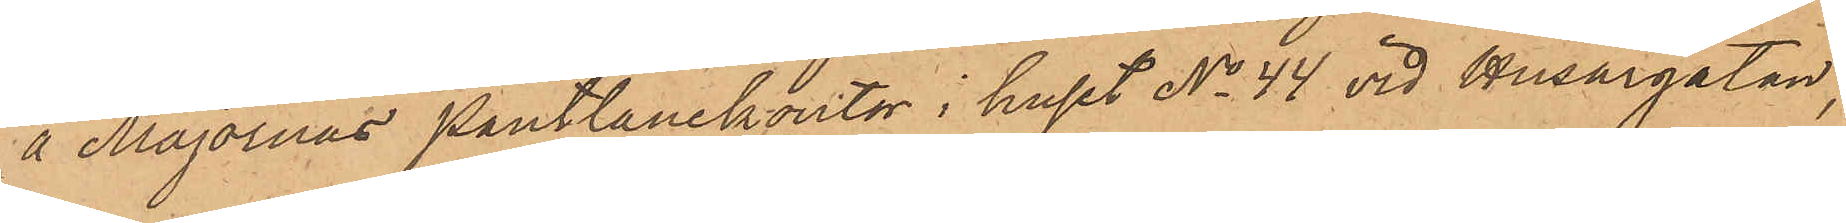å Majornas Pantlånekontor i huset No 44 vid Husargatan,
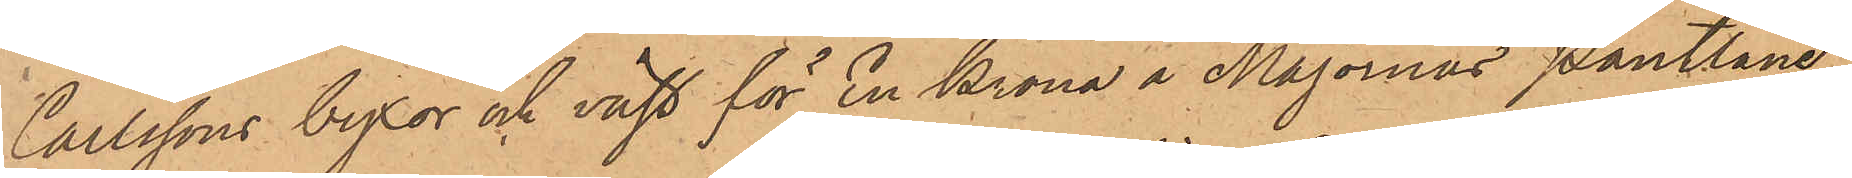Carlssons byxor och väst för En Krona å Majornas Pantlåne¬
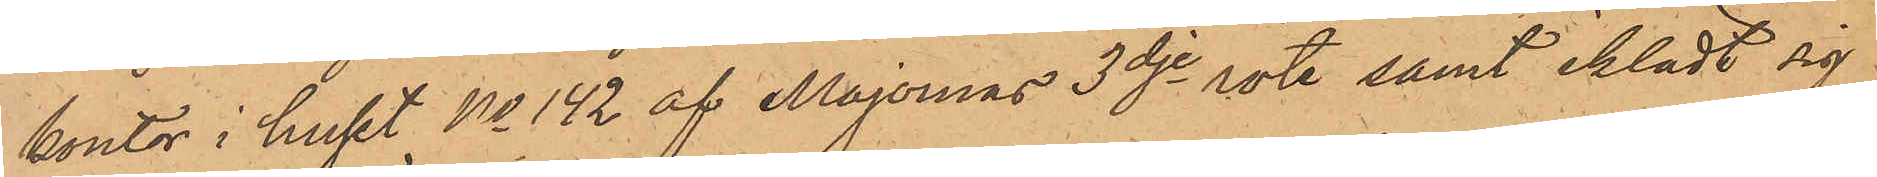kontor i huset No 142 af Majornas 3dje rote samt iklädt sig
